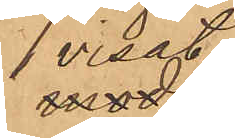visat
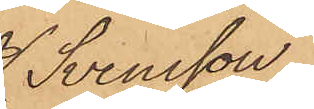Svensson
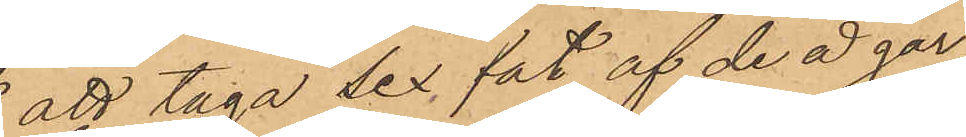att taga sex fat af de å går¬
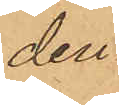den
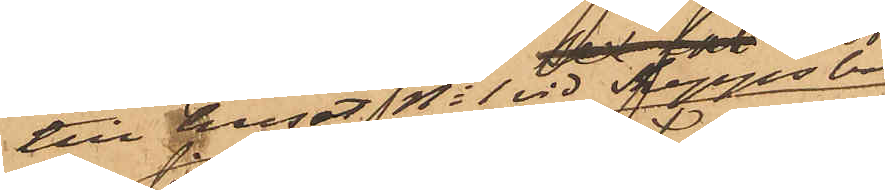till huset No 1 vid Skeppsbron
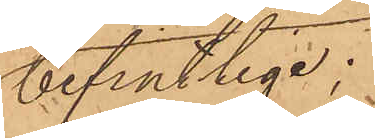befintlige;
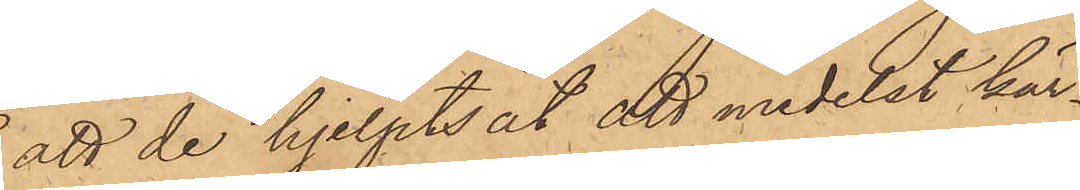att de hjelpts åt att medelst kär¬
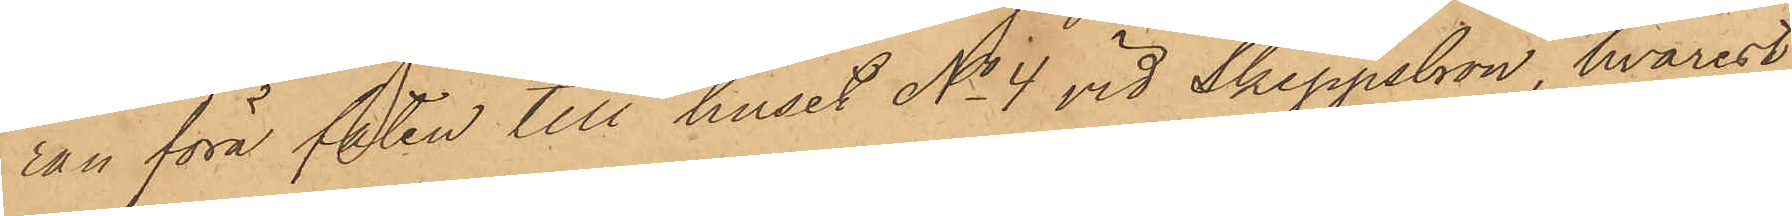ran föra faten till huset No 4 vid Skeppsbron, hvarest
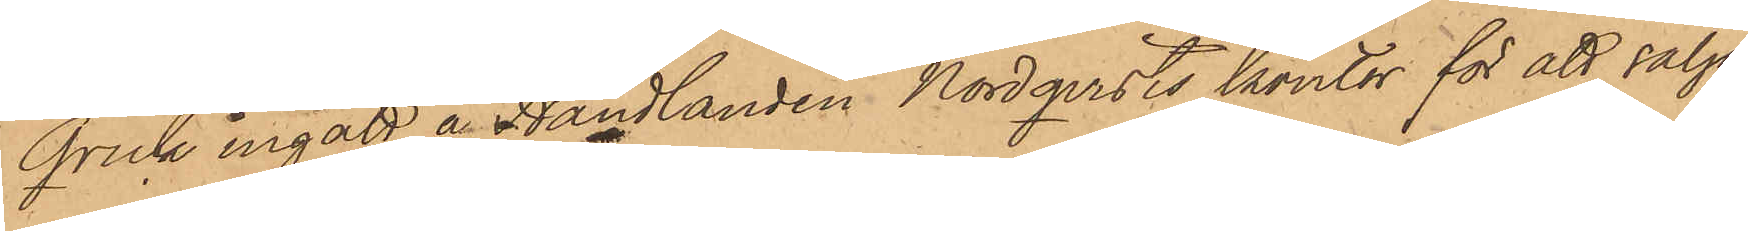Qvick ingått å Handlanden Nordqvists kontor för att sälja
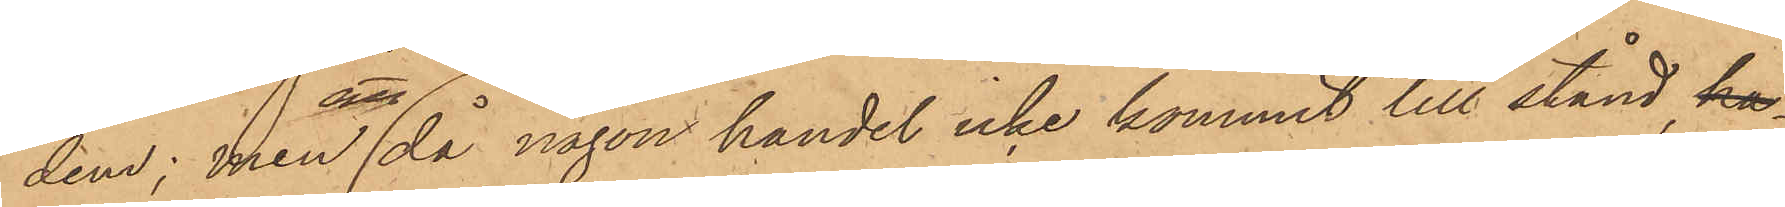dem; men då någon handel icke kommit till stånd ha¬
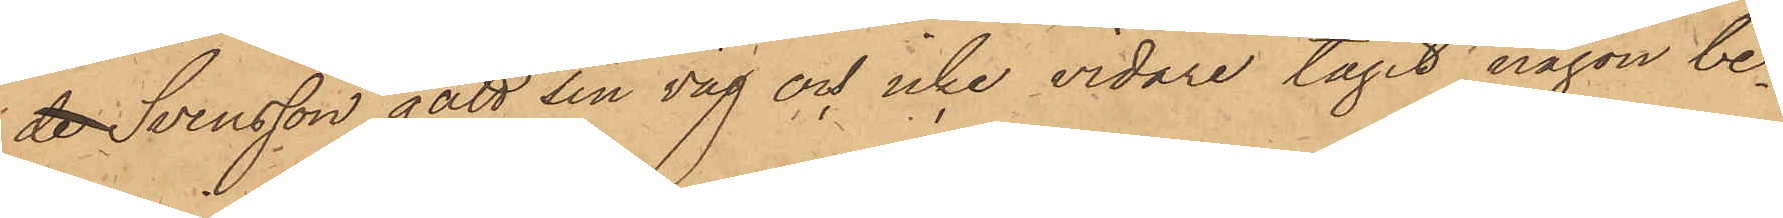de Svensson gått sin väg och icke vidare tagit någon be¬
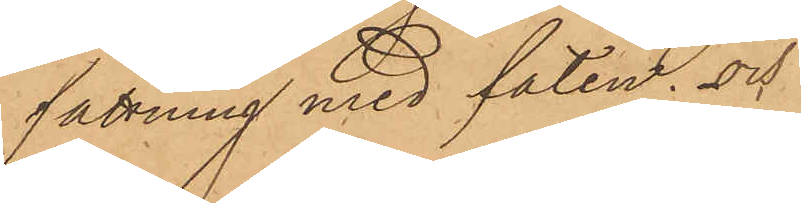sättning med faten; och
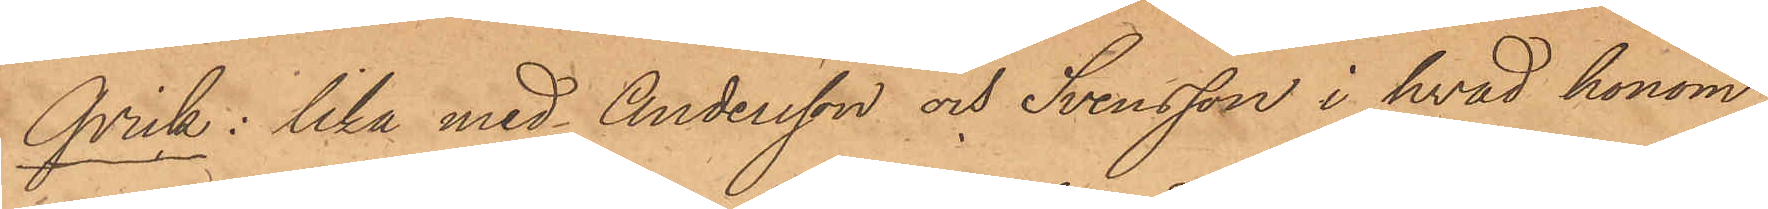Qvick: lika med Andersson och Svensson i hvad honom
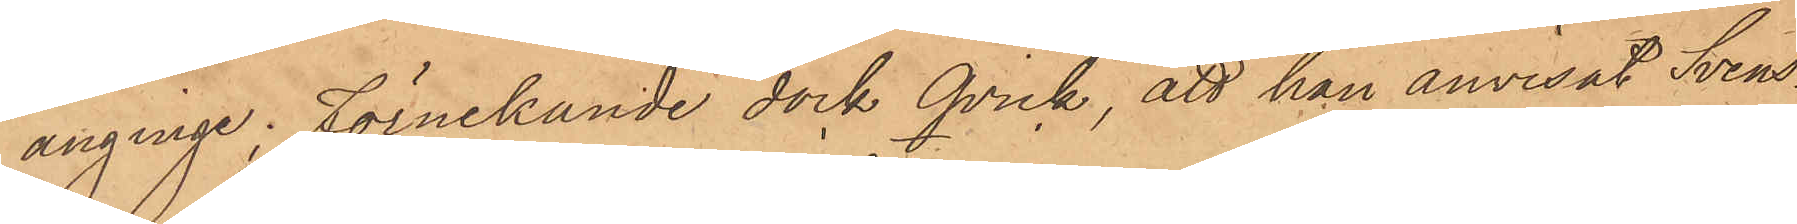anginge; förnekande dock Qvick, att han anvisat Svens¬
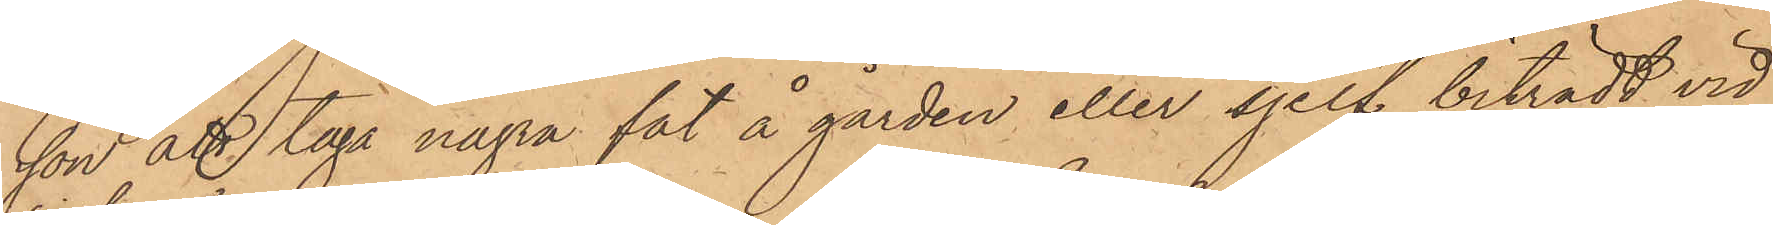son att taga några fat å gården eller sjelf biträdt vid
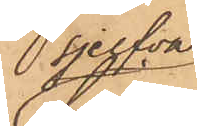sjelfva
